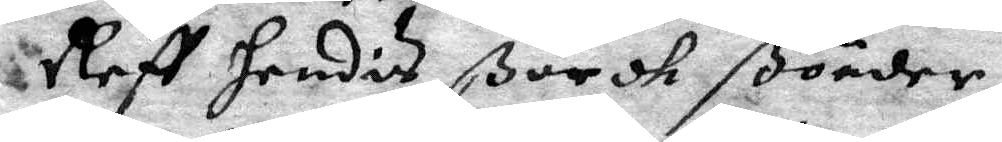Reff hendis ßärdk ßönder,
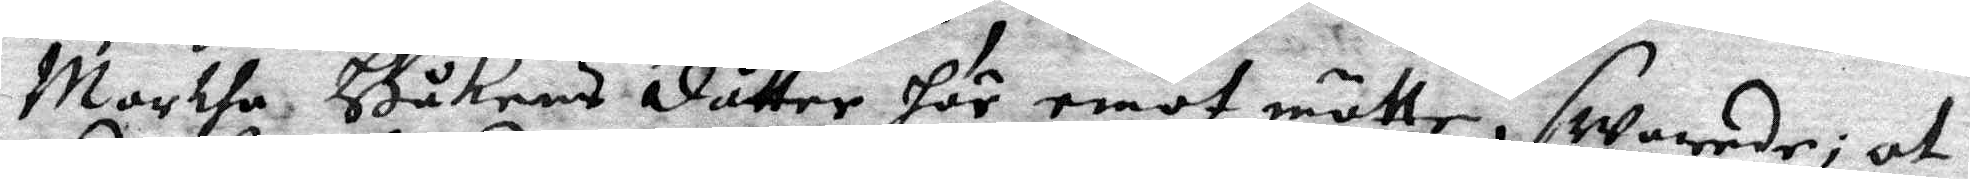Martha Håkens dåtter här emot mötte, swarade; at
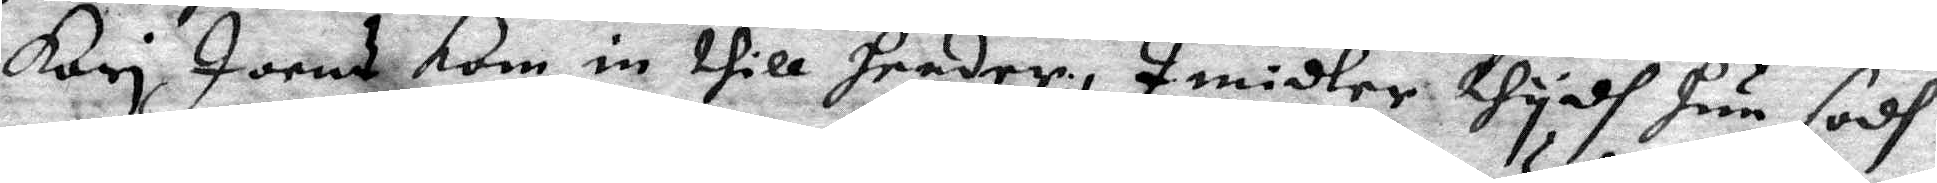Kari Joens kom in thill hender, Imidler thydh hun sodh
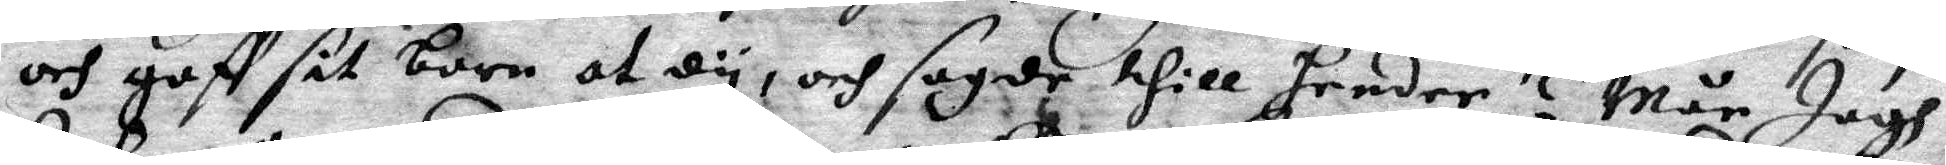och gaff sit barn at dy, och sagde till hender? Mån Jagh
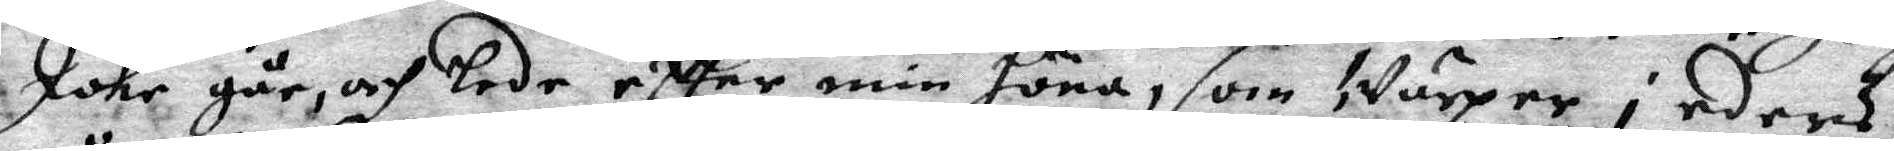Johr går, och lede eftter min höna, som Wärper i eders
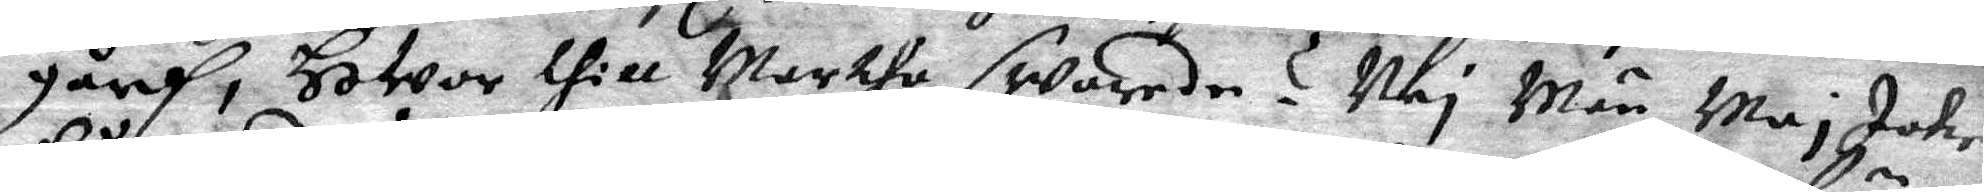gård, Hwor till Marthe swarede? Nej Män Maj Icke
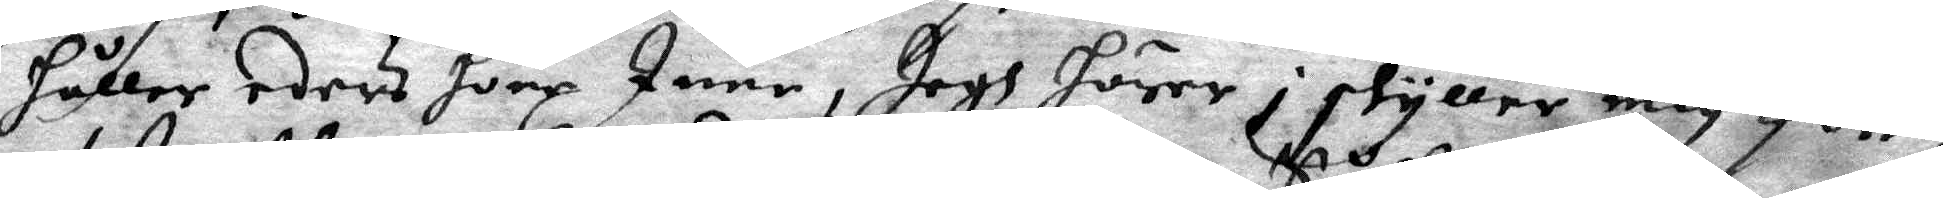håller eders hönz Inne, Jagh hörer i skyller mig förr,
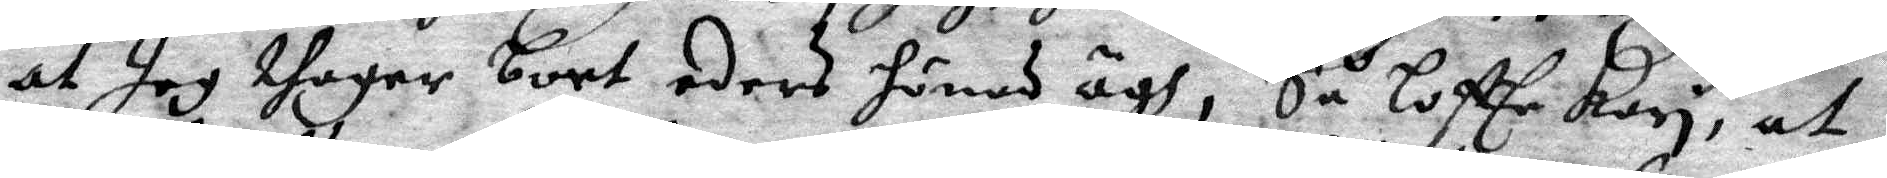at Jag thager bort eders hönes ägh, Så loffte Kori, at
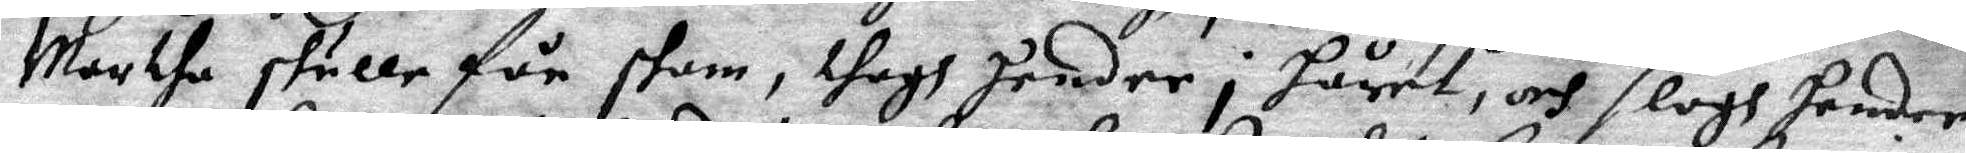Martha skulle får skam, thagh hender i håret, och slogh hender
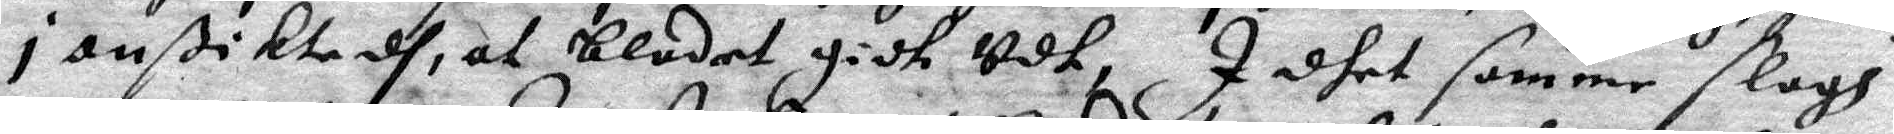i anßiktedh, at blodet gidh Udt, I dhet samme slogh
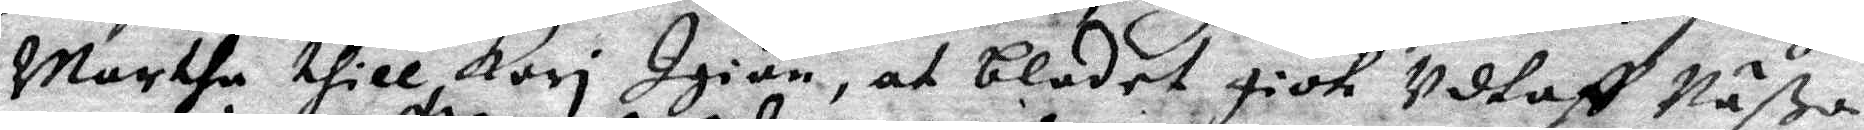Marthe till Kari Igiän, at blodet gick Udtaff Näßa
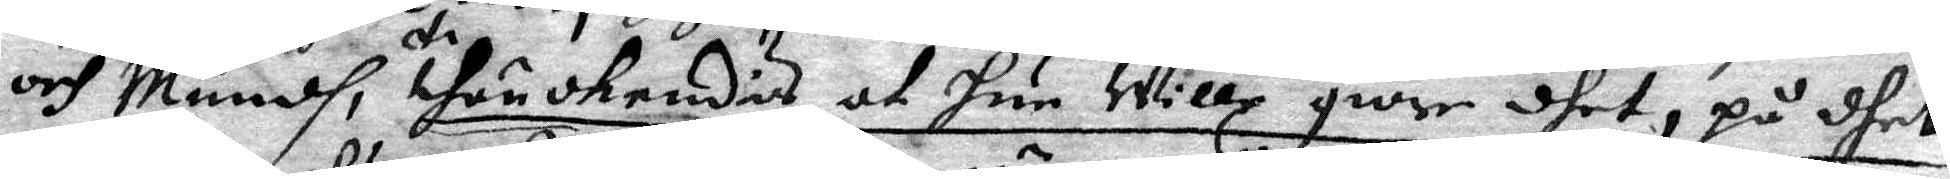och Mundh, thunckredis at hun Wille giöre dhet, på dhet
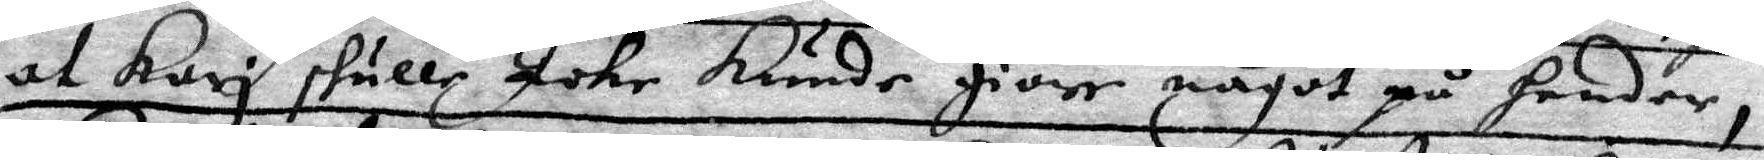at Kari skulle Icke Kunde giöre något på hender,
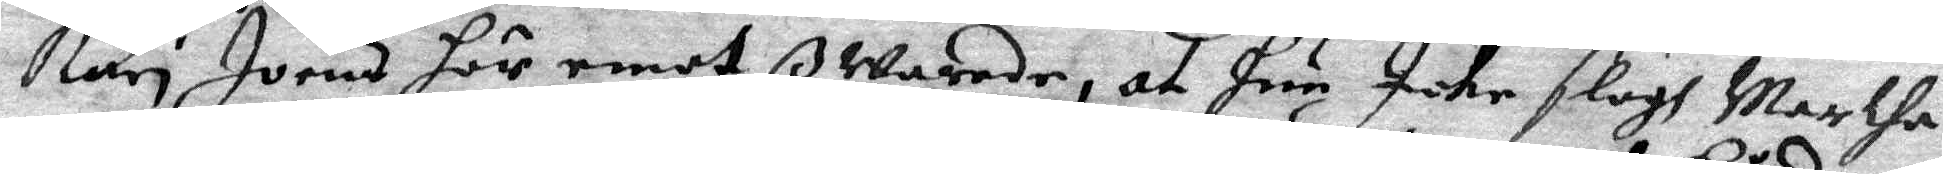Kari Joens här emot ßwarade, at hun Icke slogh Martha
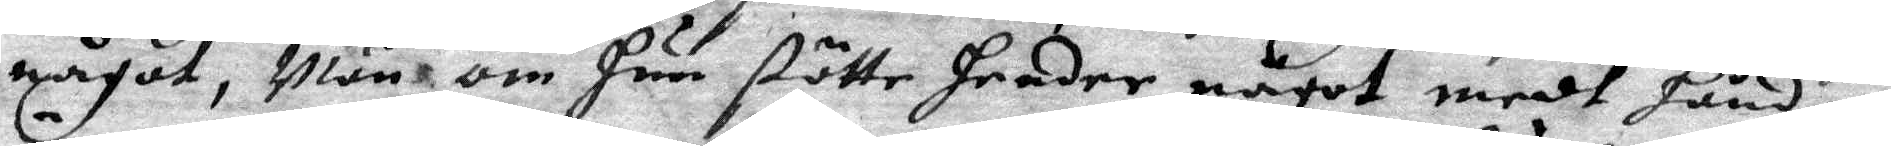något, Män om hun stötte hender något medh hånden
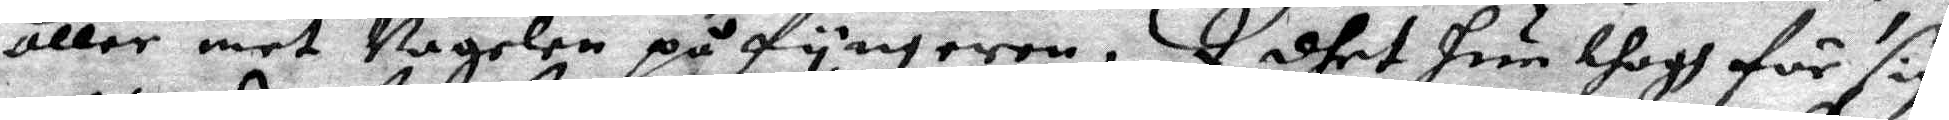eller mot Nagelen på fyngeren, I dhet hun thogh för sig
